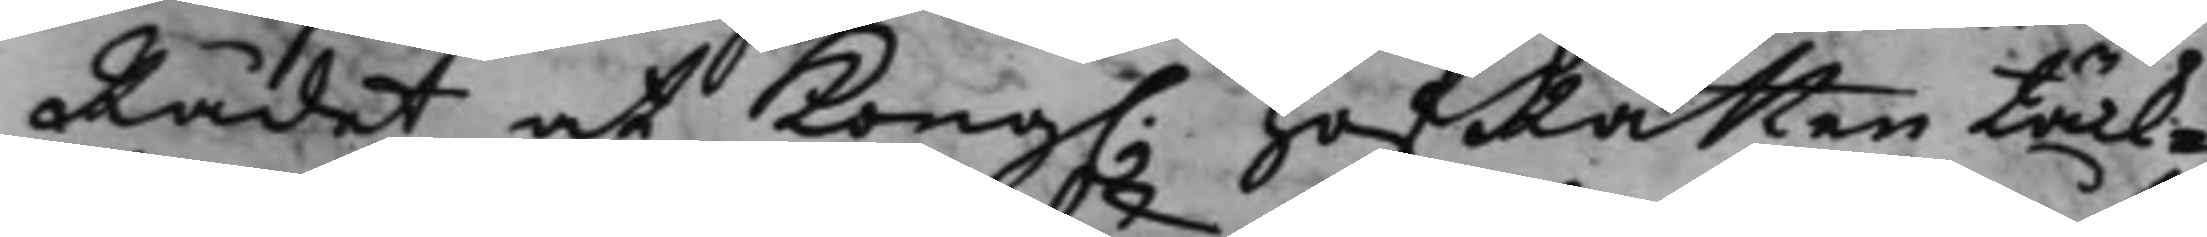Rådet at Kong. HofRätten tänk¬
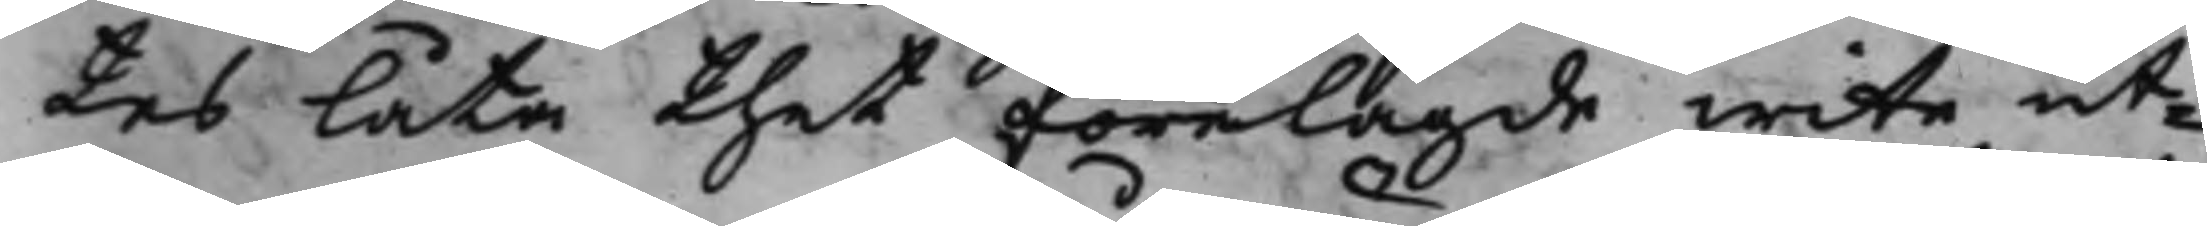tes låta thet förelagde wite ut¬
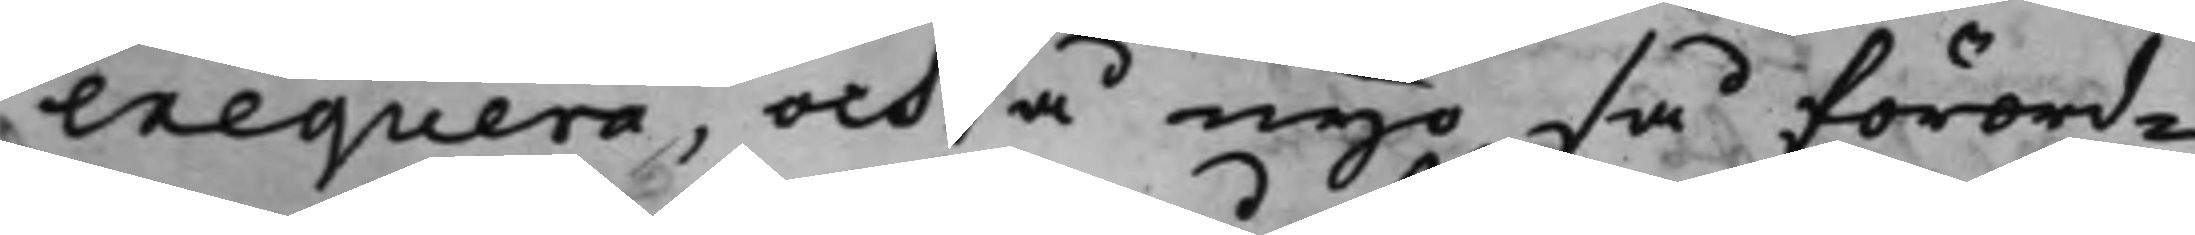exequera, och å nyo så förord¬
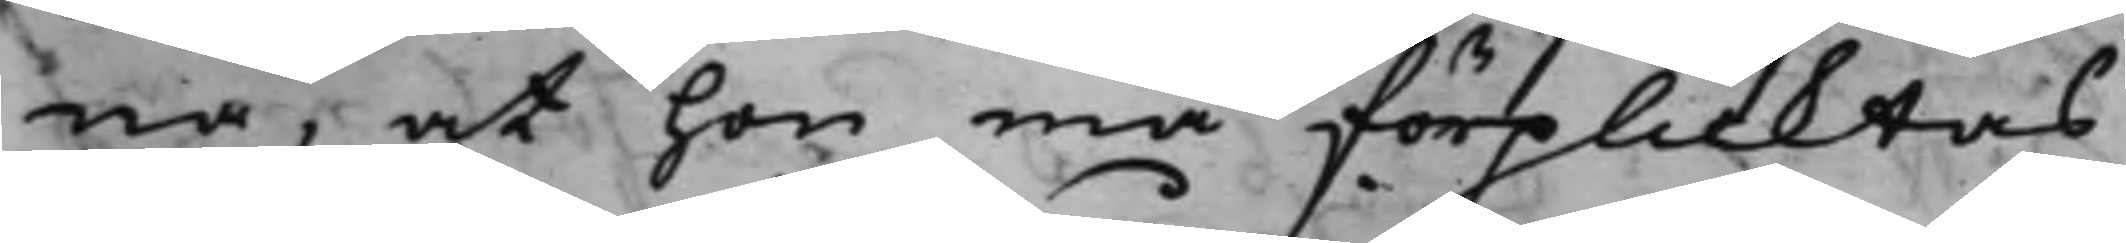na, at hon må förplicktas
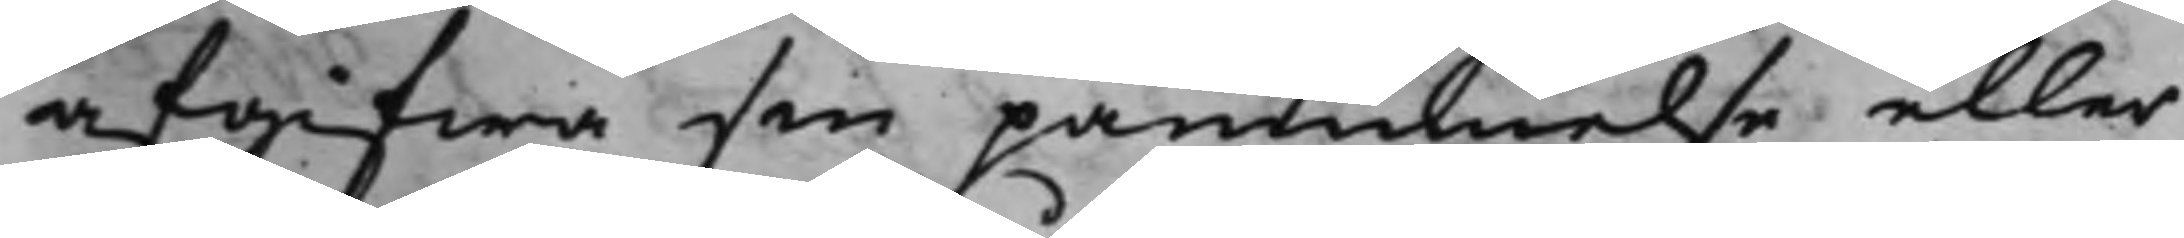afgifwa sin påminnelse eller
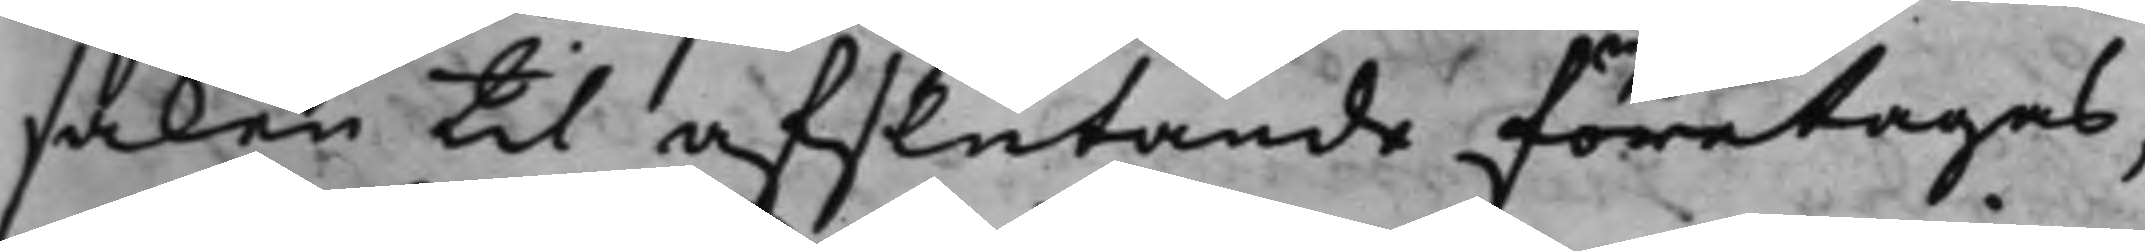saken til afslutande företagas,
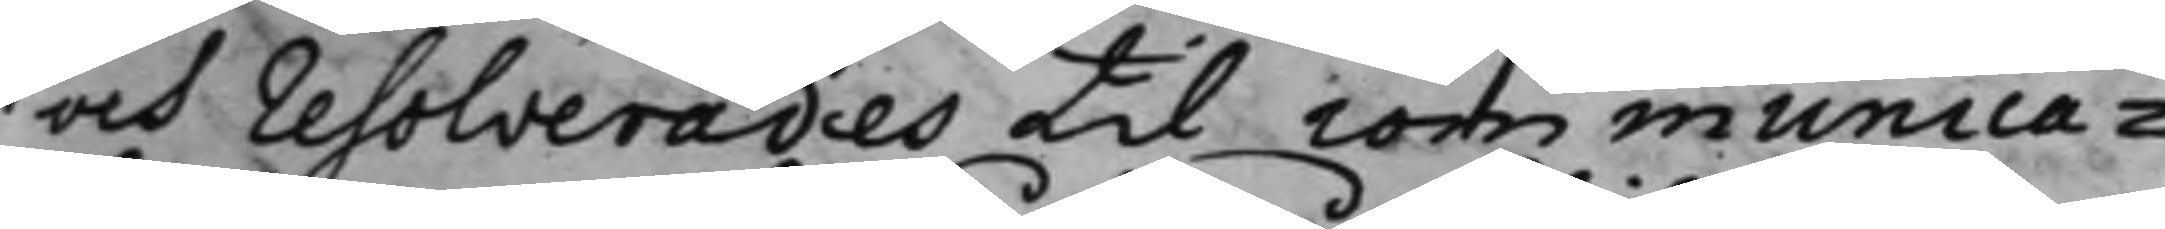och resolverades til communica¬
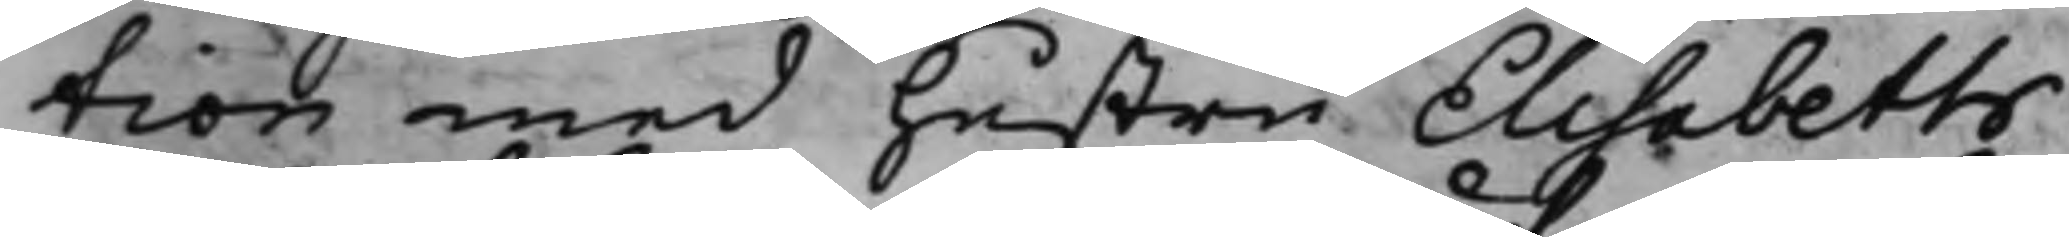tion med hustru Elisabeth
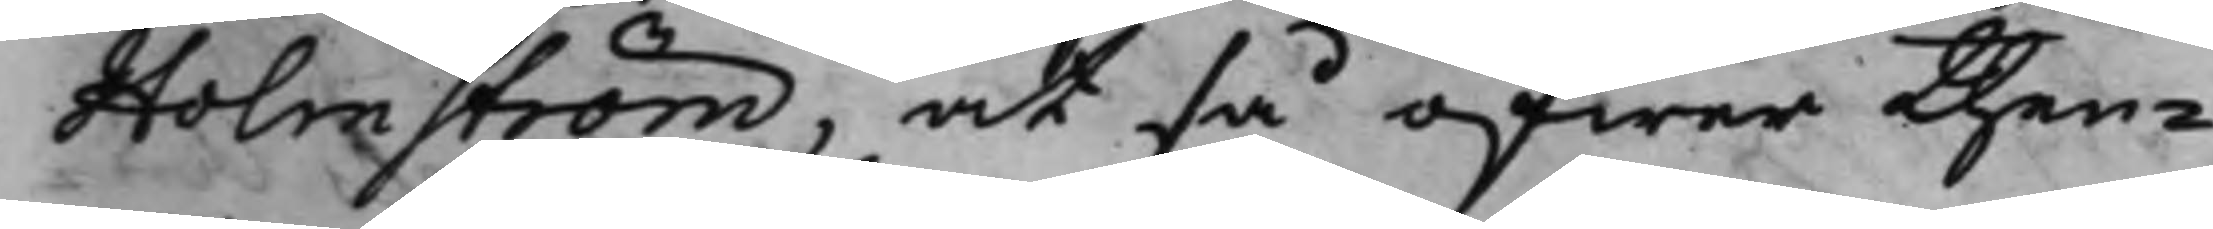Holmström, at så öfwer then¬
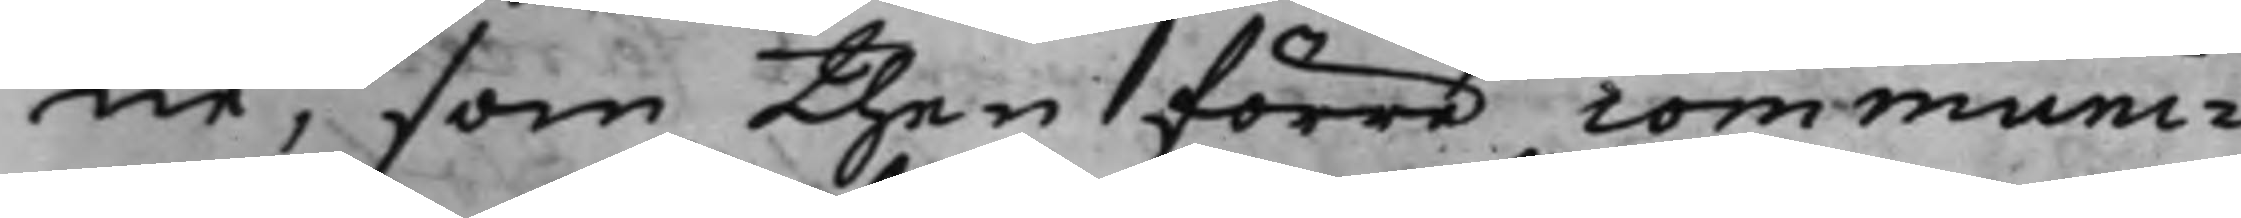ne, som then förra communi¬
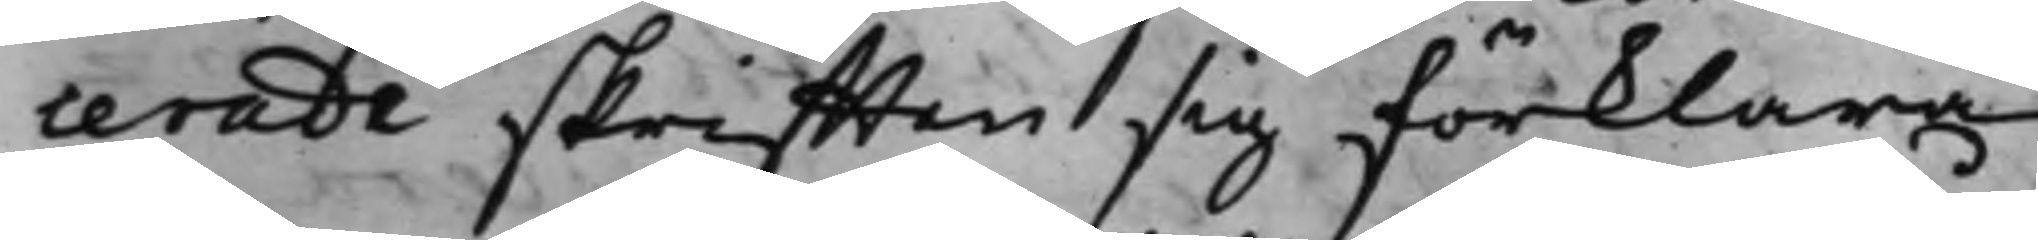cerade skrifften sig förklara,
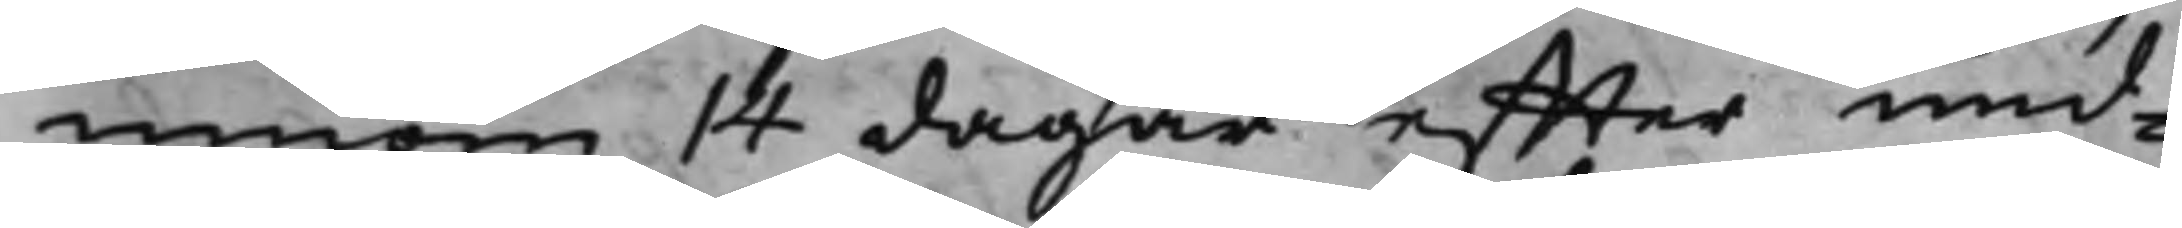innom 14 dagar effter und¬
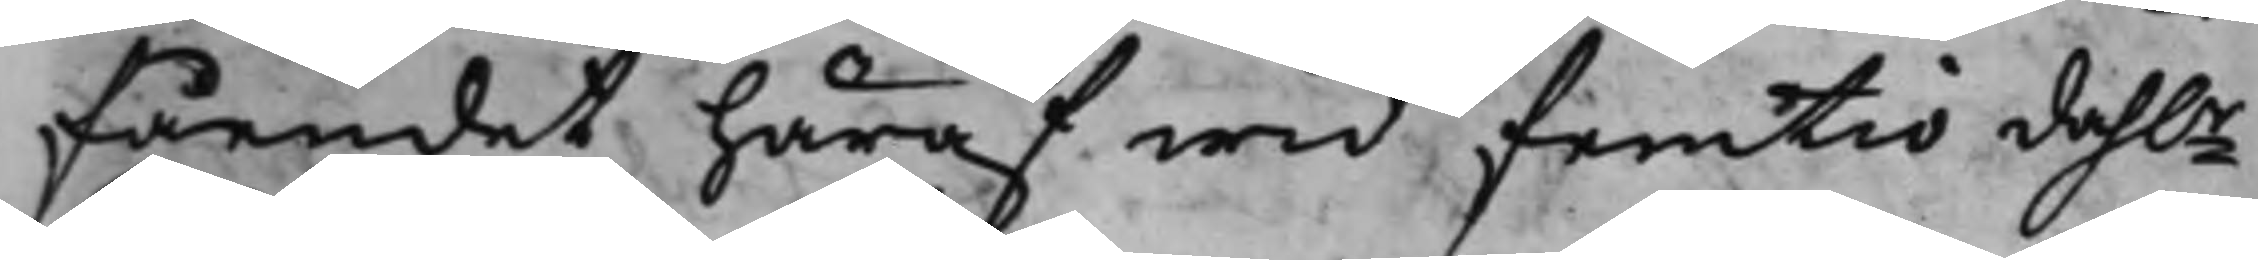fåendet häraf wid femtio dah.r
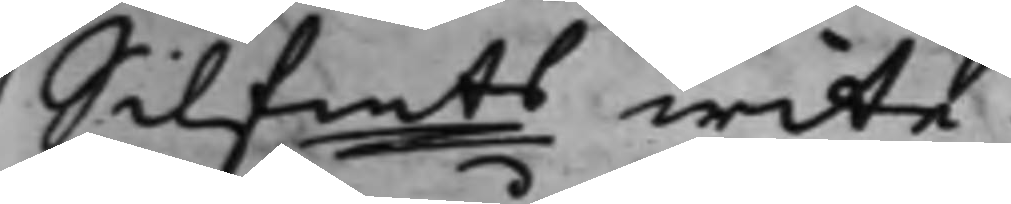Silfmts wite.
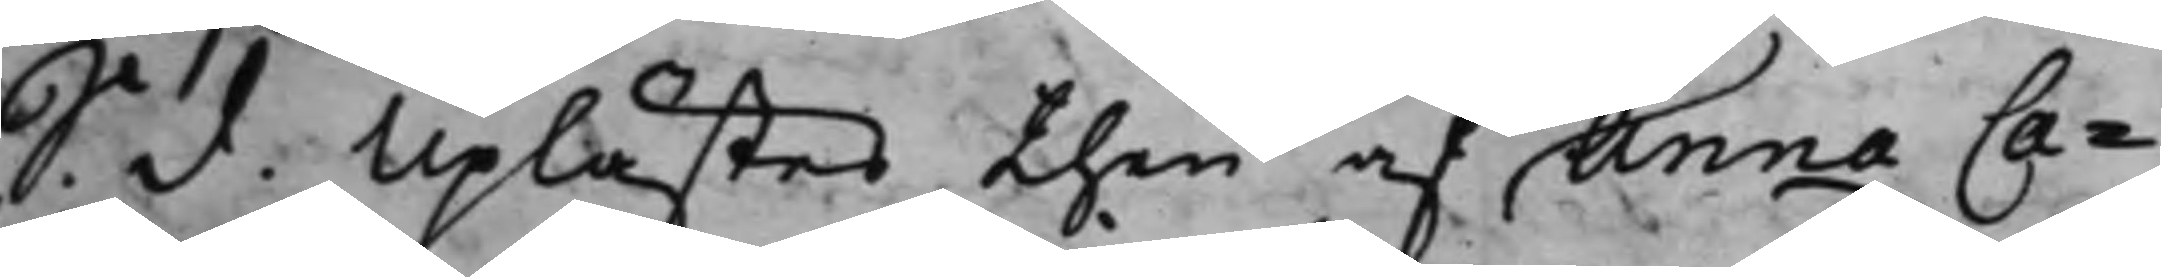S. d. Uplästes then af. Anna Ca¬
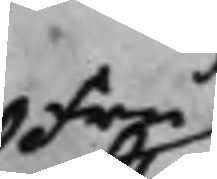Fru
